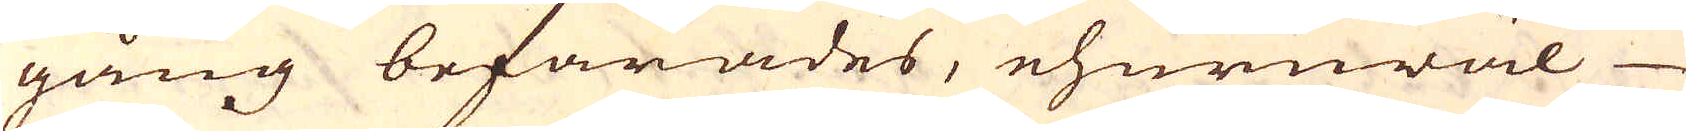gång befarades, ehuruwäl-
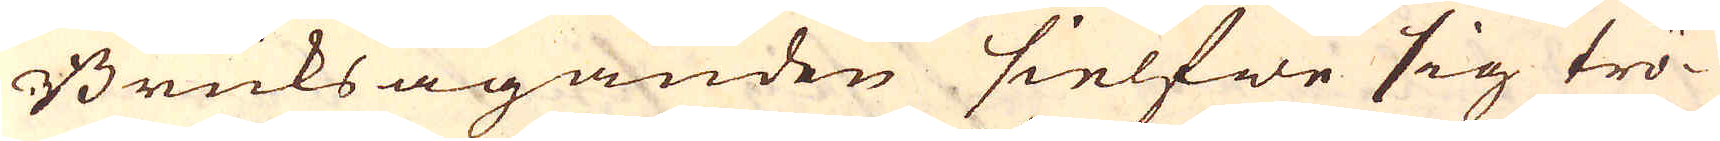Bruksäganden sielfwe sig trö-
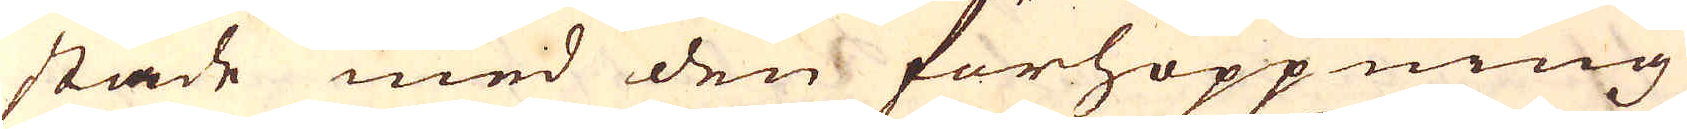stade med den förhoppning
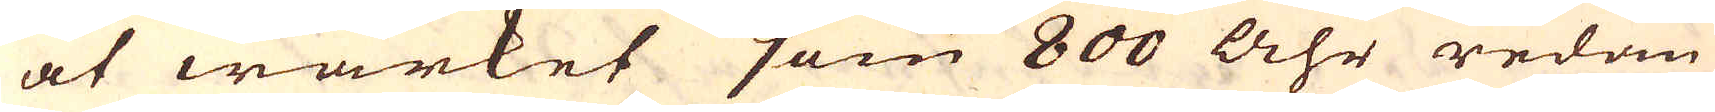at wärket som 800 Åhr redan
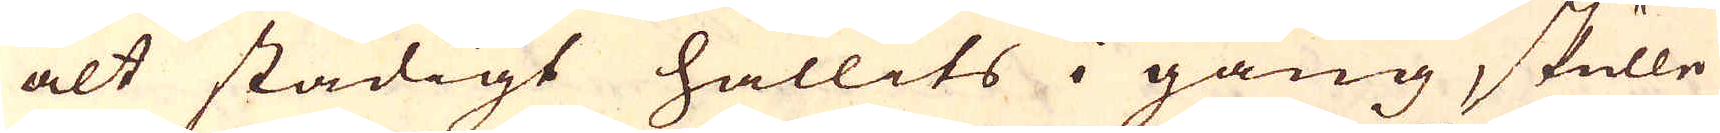alt stadigt hållits i gång, skulle
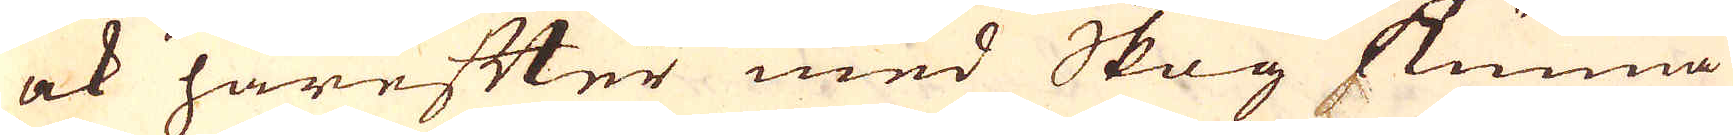ock härefter med Skog kunna
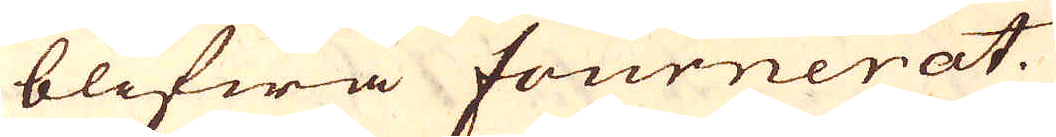blifwa fournerat.
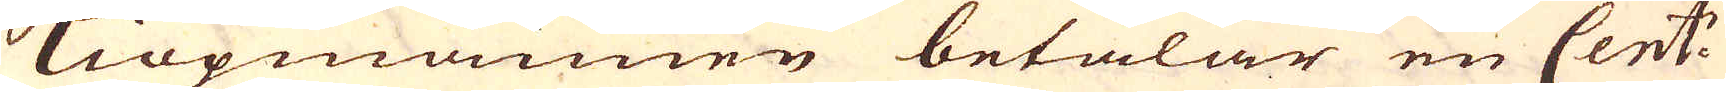Kiöpmannen betalar en Cent:
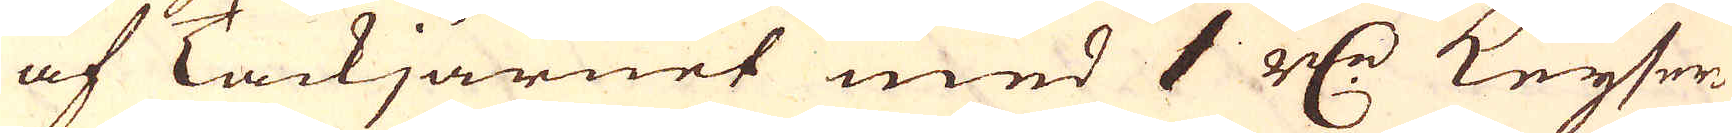af Tackjärnet med 1 r:dr Keyser-
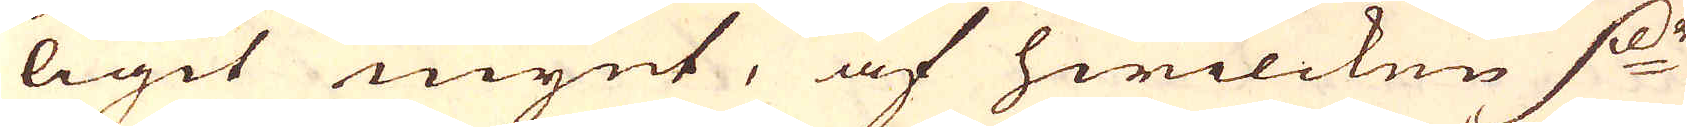ligit mynt, af hwilcken d:r
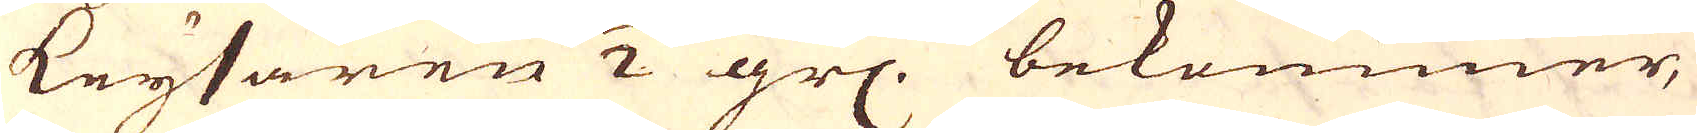keysaren 1/2 gr: bekommer,
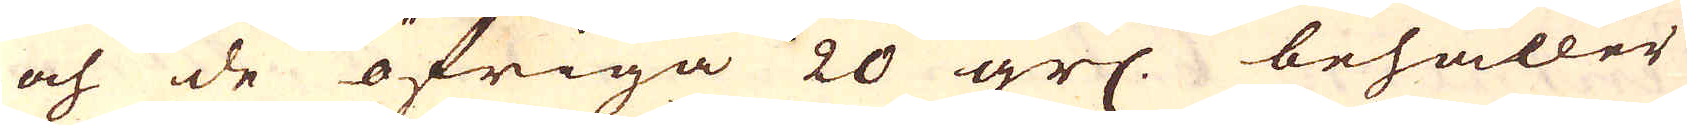och de öfriga 20 gr: behåller
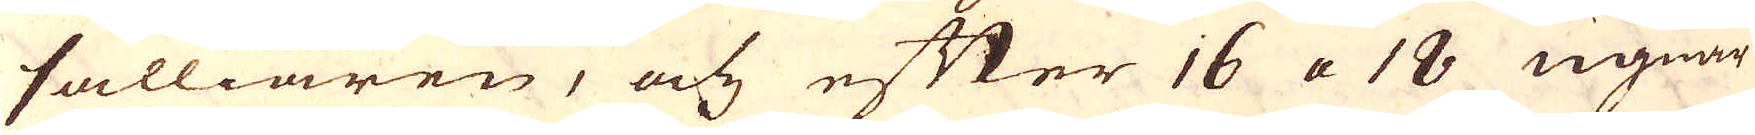sälliaren, och efter 16 a 18 ugnar
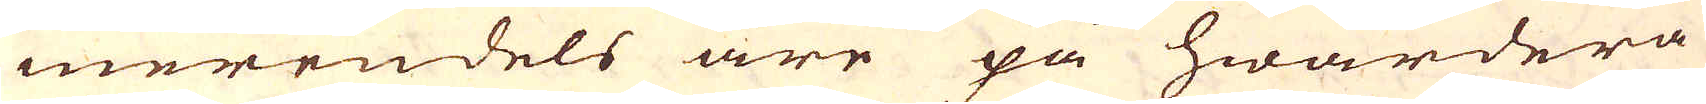merendels äre på hwardera
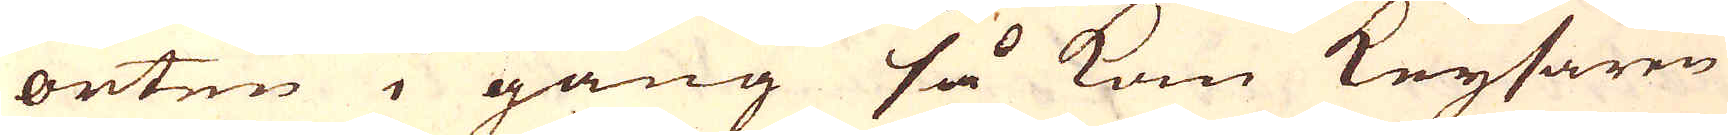orten i gång så kom Keysaren
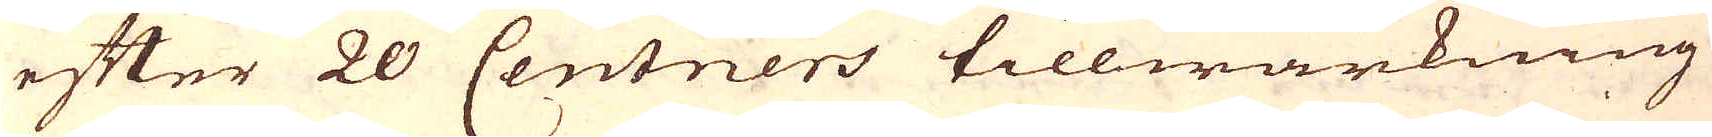efter 20 Centners tillwärkning
